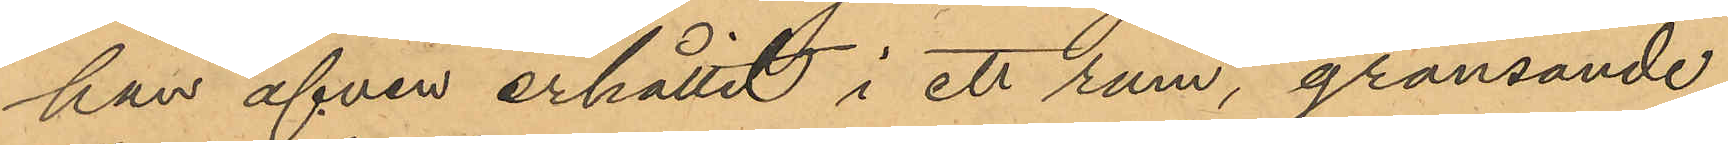han äfven erhållit i ett rum, gränsande
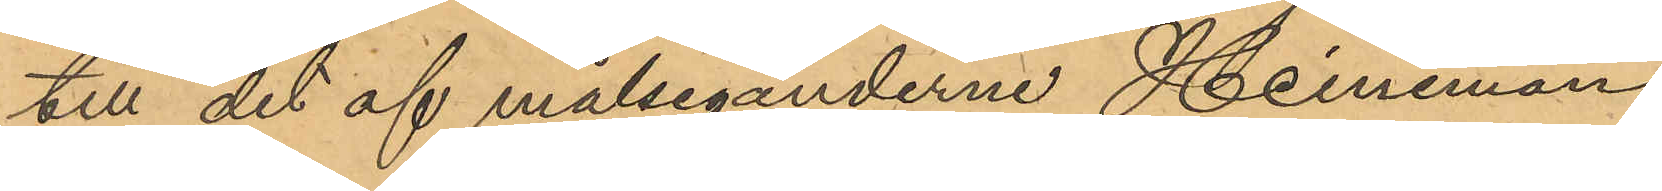till det af målseganderne Heineman,
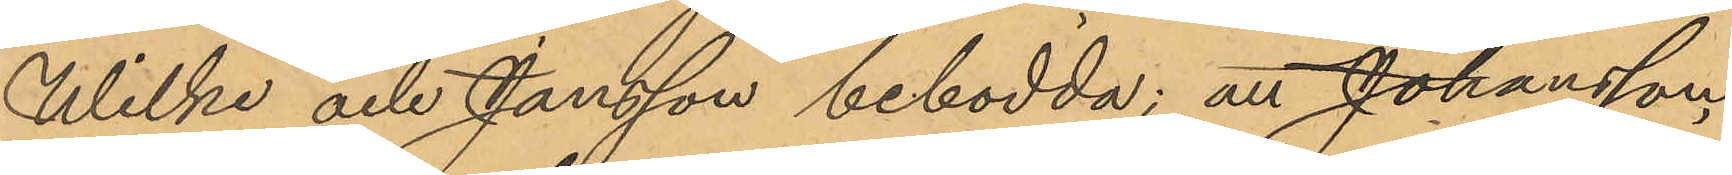Wilke och Jansson bebodda; att Johansson
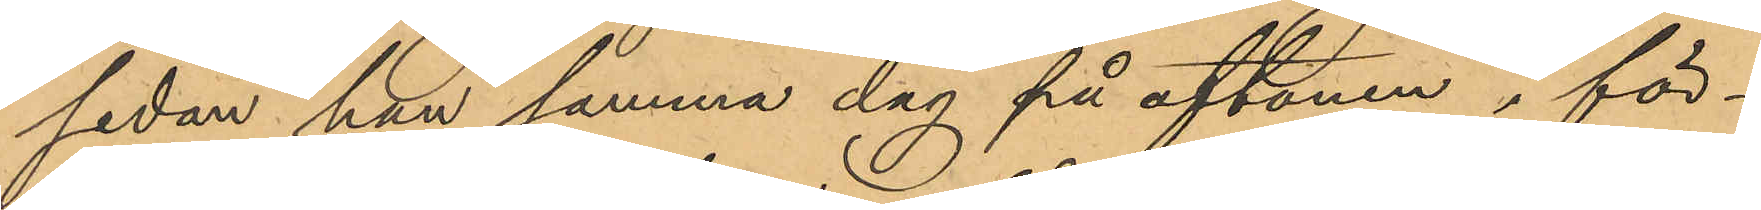sedan han samma dag på aftonen i för¬
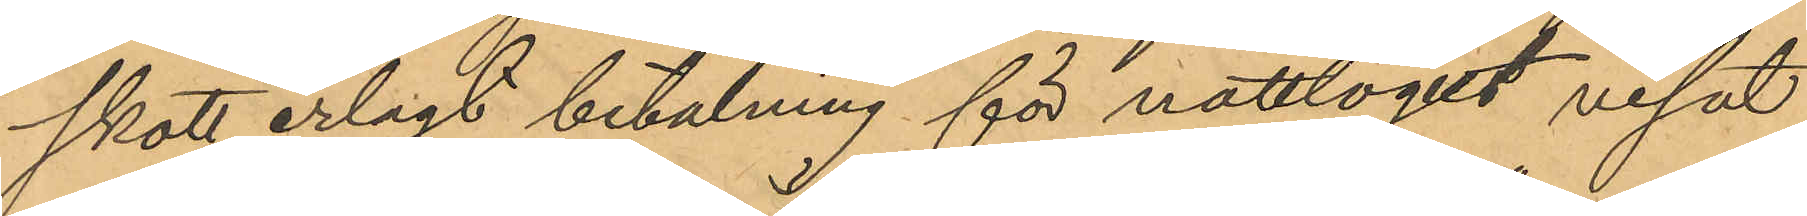skott erlagt betalning för nattlogit visat
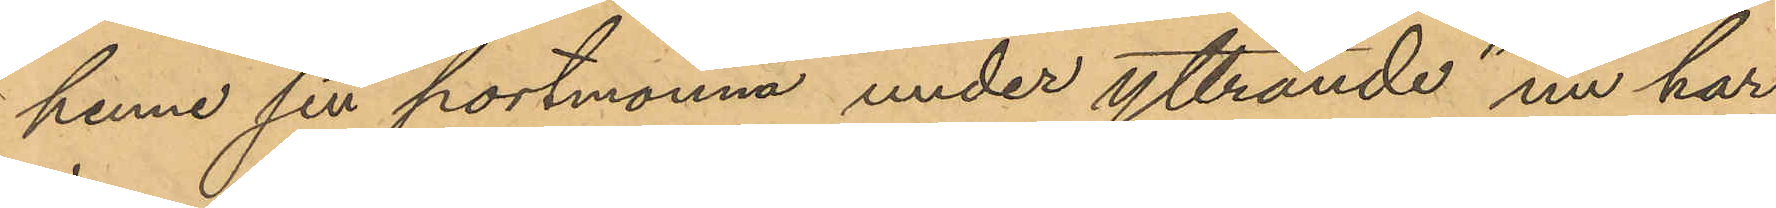henne sin portmonnä, under yttrande "nu har
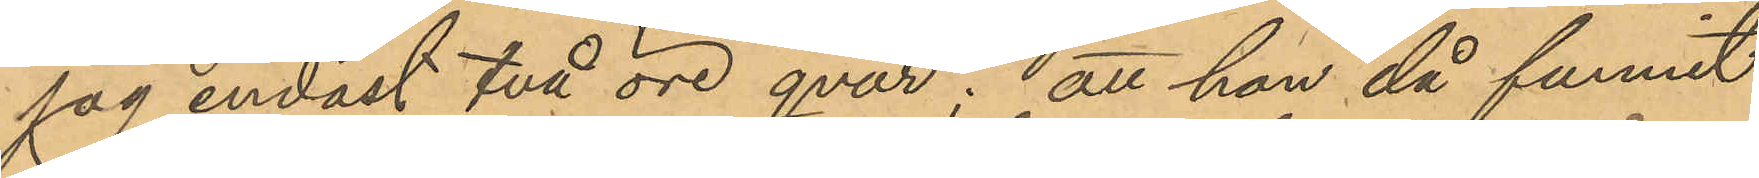jag endast två öre qvar"; att han då funnit
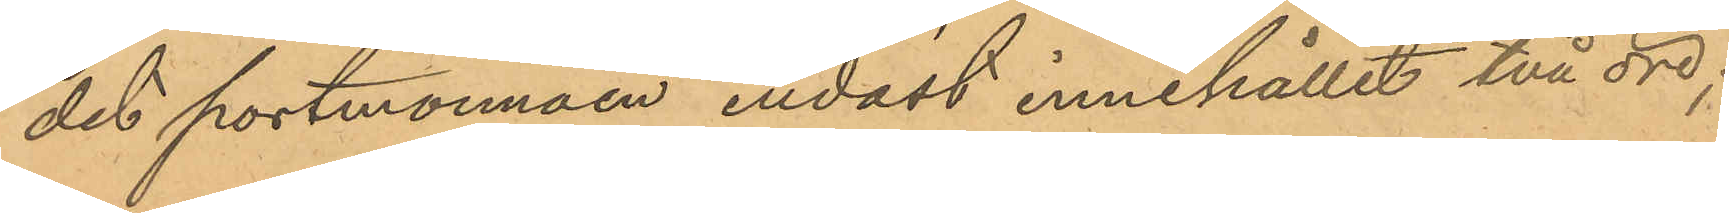det portmonnäen endast innehållit två öre;
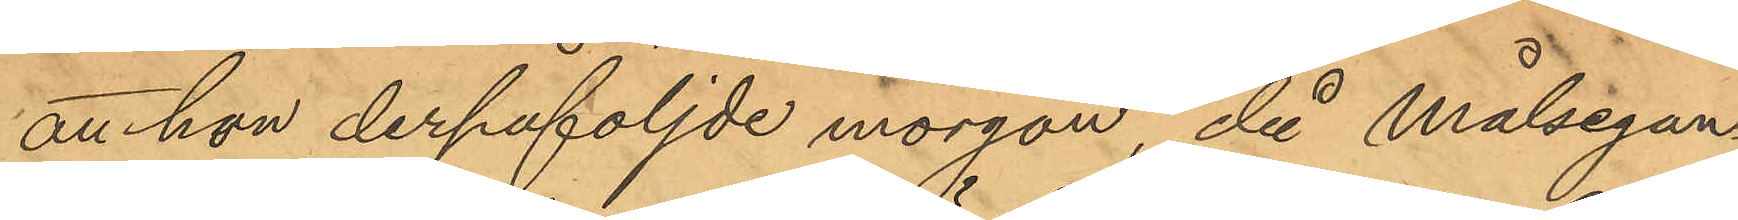att hon derpåföljde morgon, då Målsegan¬
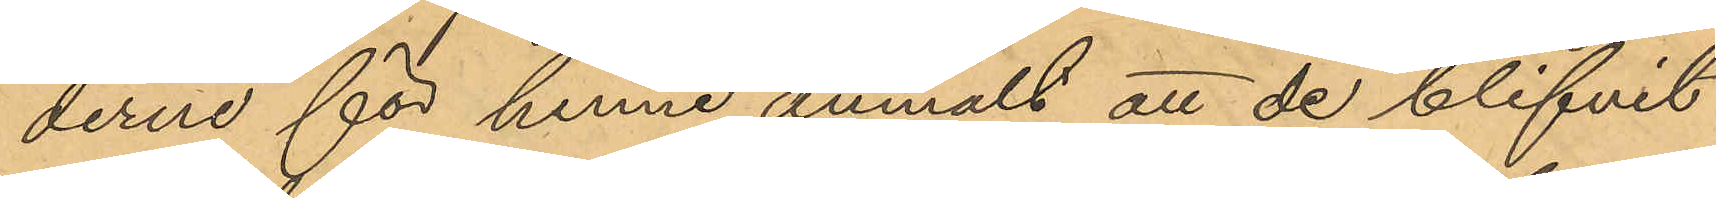derne för henne anmält att de blifvit
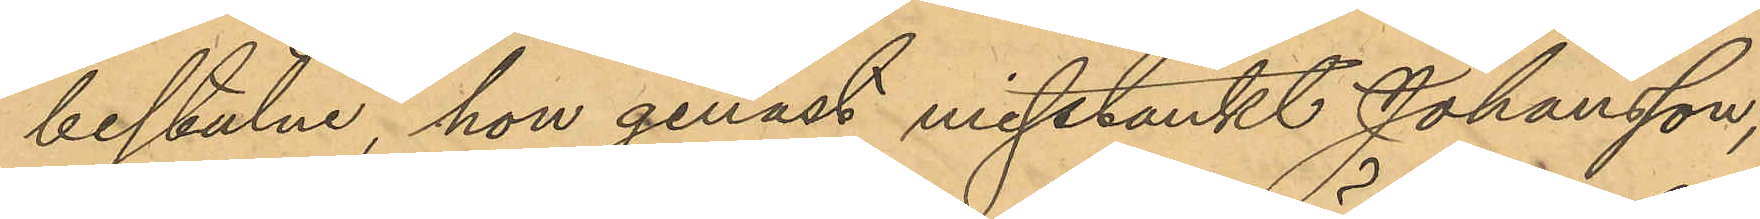bestulna hon genast misstänkt Johansson,
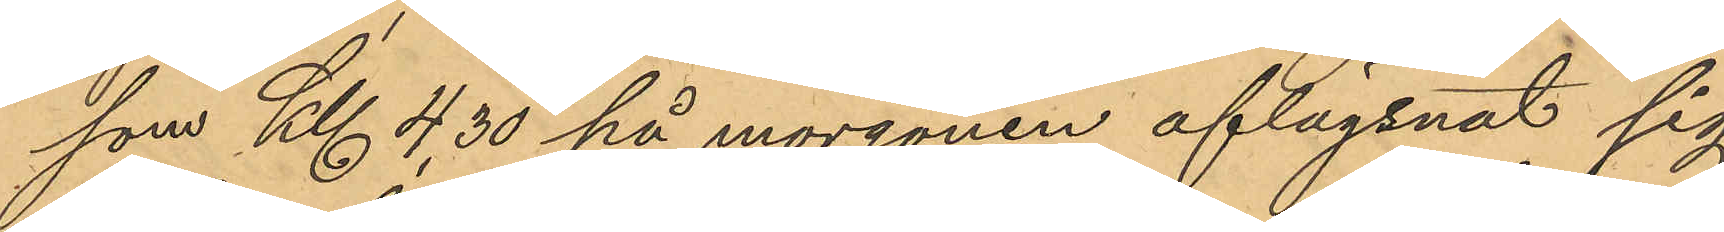som Kl 4,30 på morgonen aflägsnat sig
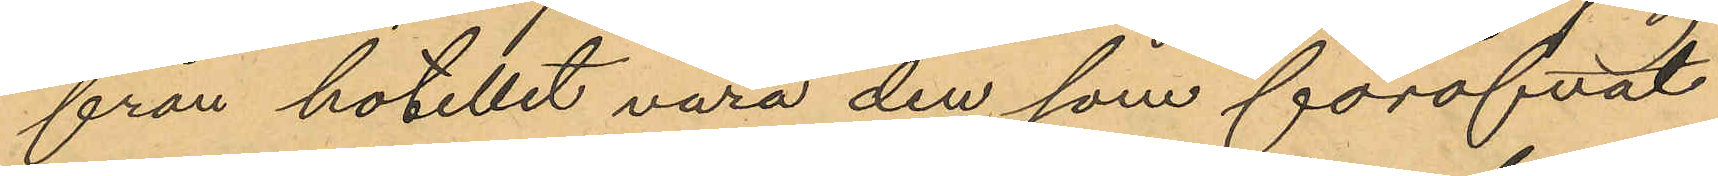från hotellet vara den som föröfvat
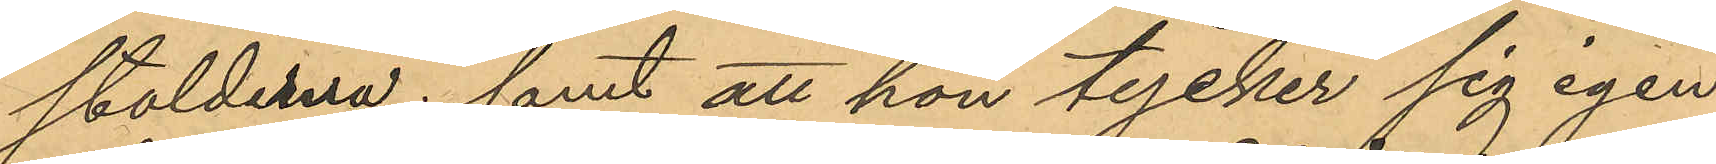stölderna; samt att hon tycker sig igen¬
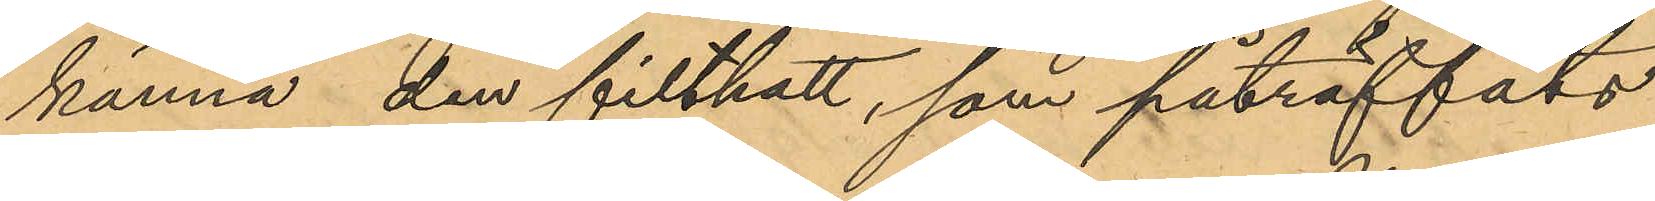känna den filthatt, som påträffats
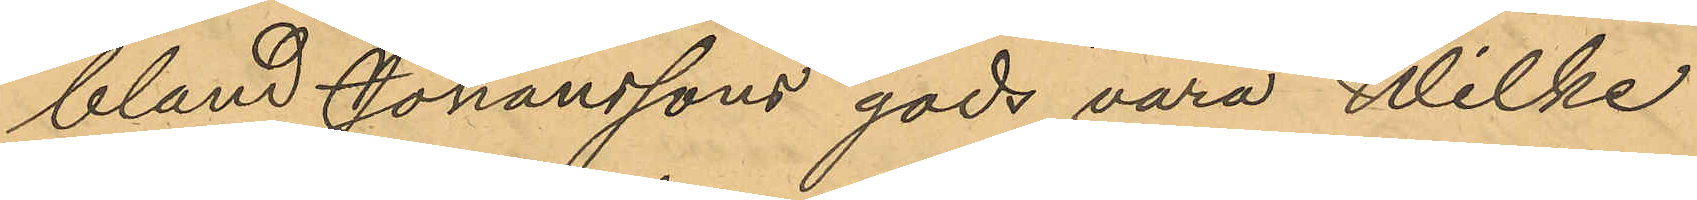bland Jonanssons gods vara Wilke
